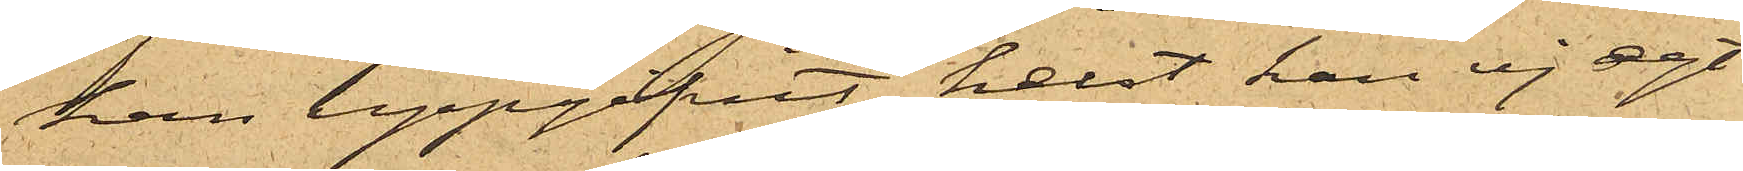han uppgifvit, helst han ej egt
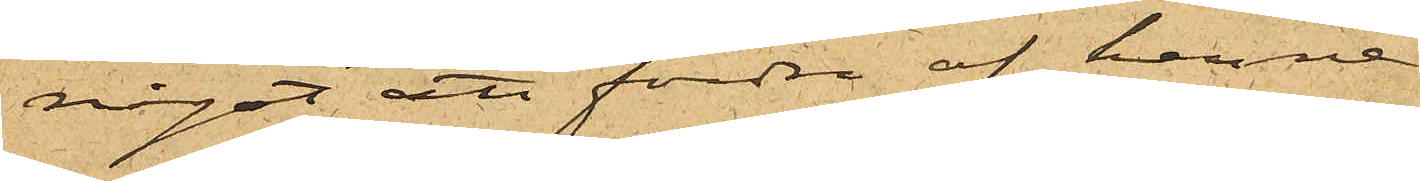något att fordra af henne.
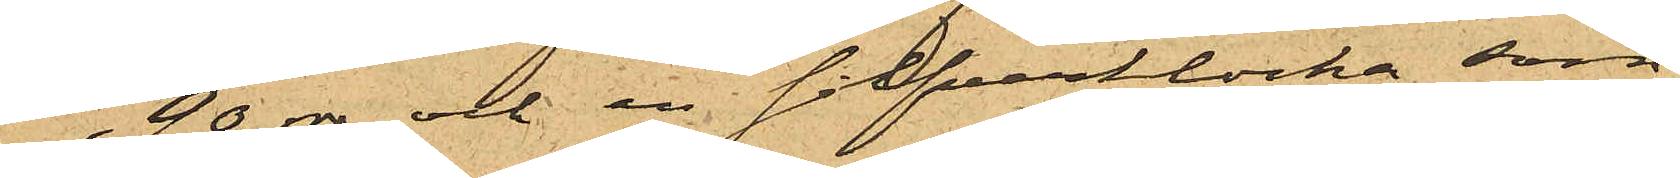90 rdr och en silfverklocka, som
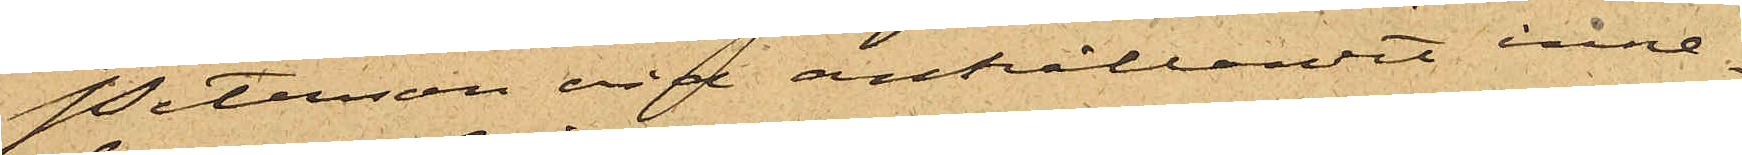Petersson vid anhållandet inne¬
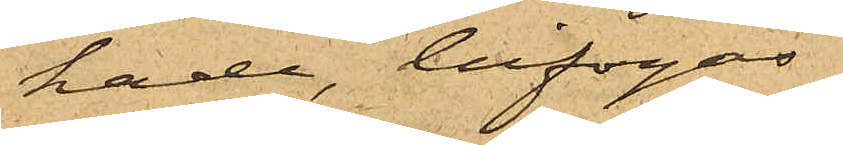hade, bifogas.
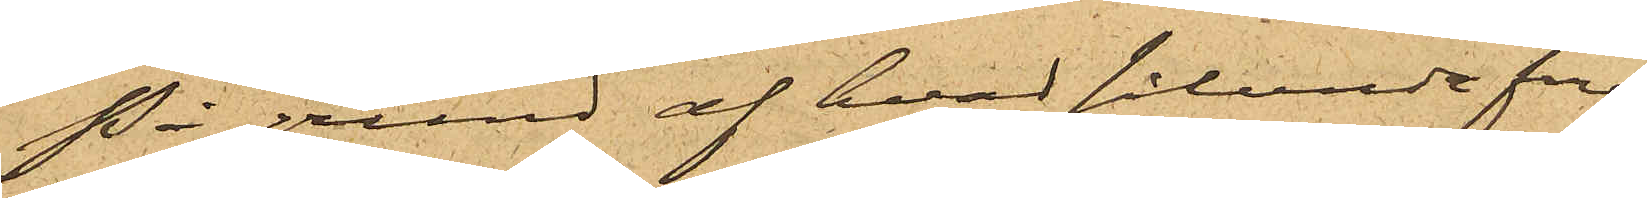På grund af hvad sålunda före¬
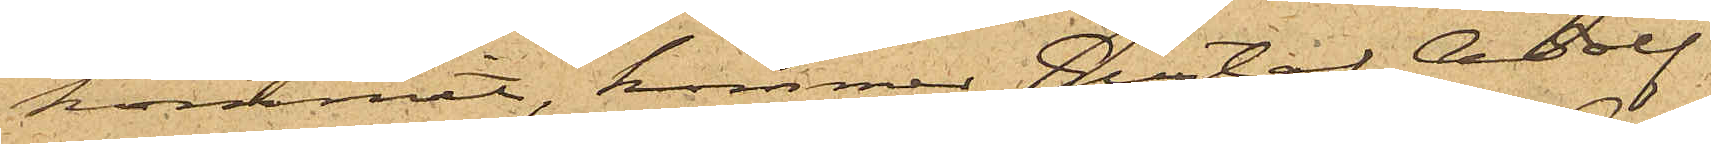kommit, kommer Gustaf Adolf
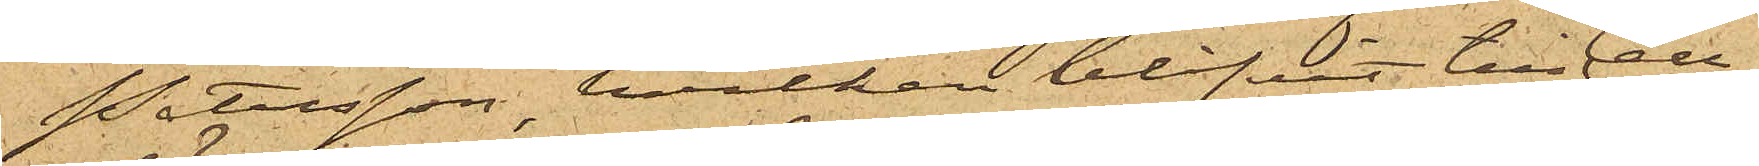Petersson, hvilken blifvit till Cell¬
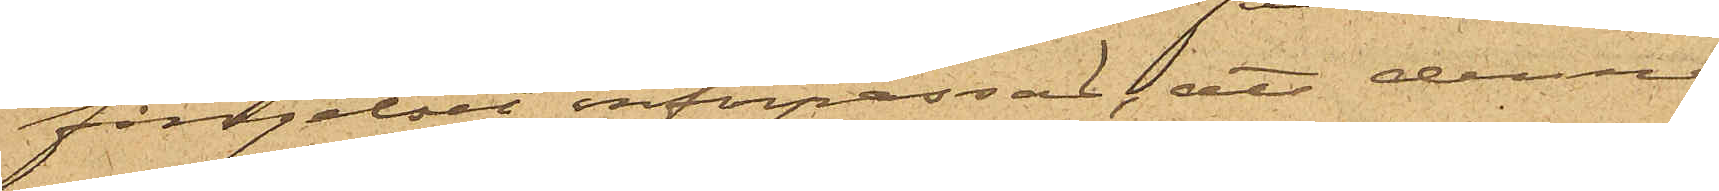fängelset införpassad, att denna
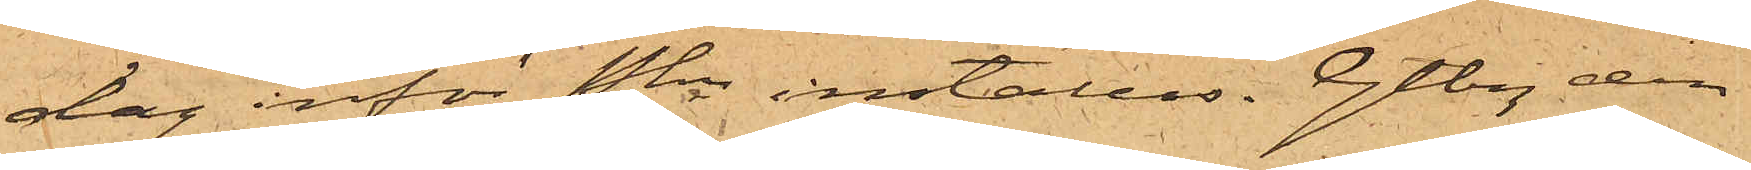dag inför Pkn inställas. Gtbg den
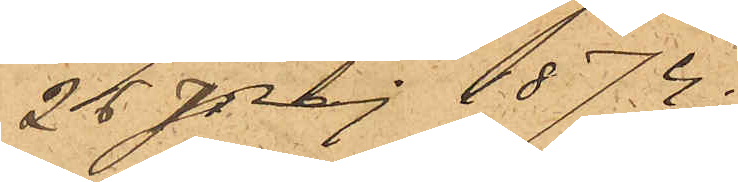26 Maj 1874.
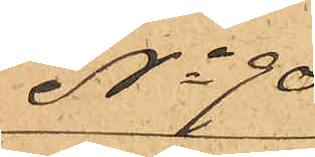No 90
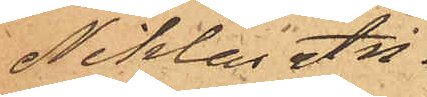Niklas An¬
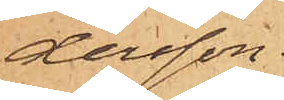dersson.
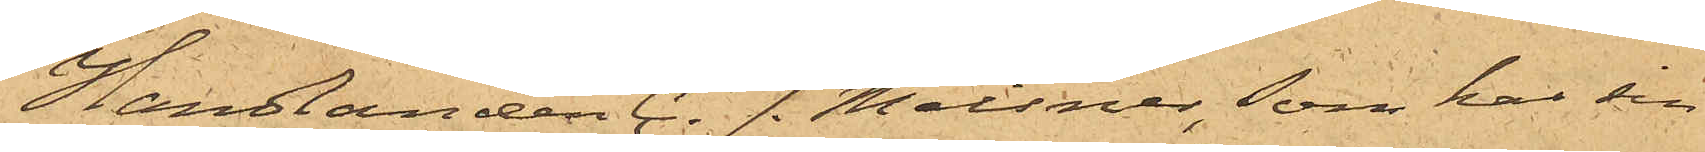Handlanden C. J. Meissner, som har sin
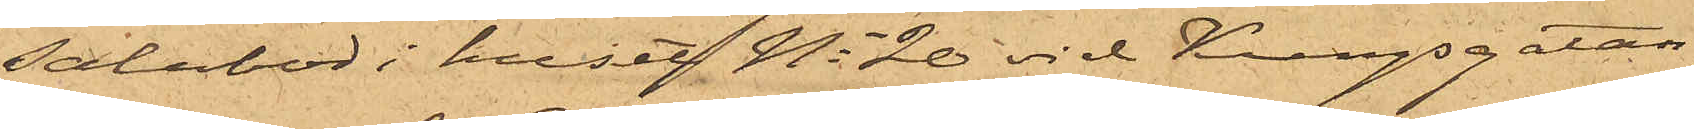Salubod i huset No 20 vid Kungsgatan,
